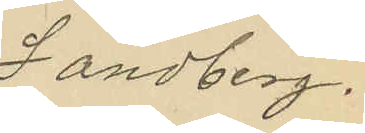Sandberg.
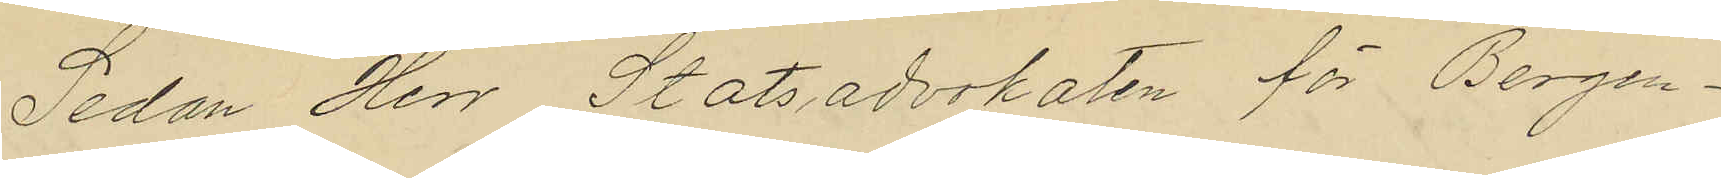Sedan Herr Statsadvokaten för Bergen¬
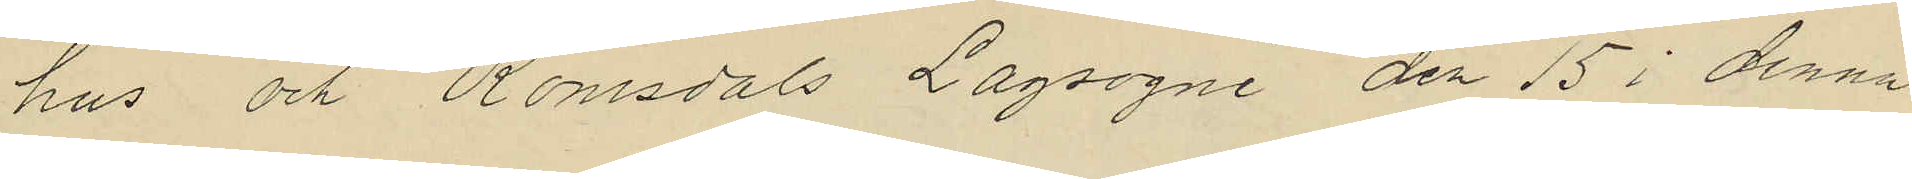hus och Romsdals Lagsogni den 15 i denna
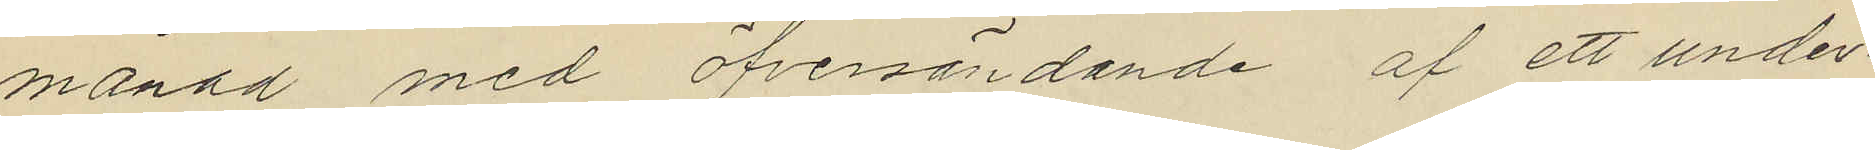månad med öfversändande af ett under¬
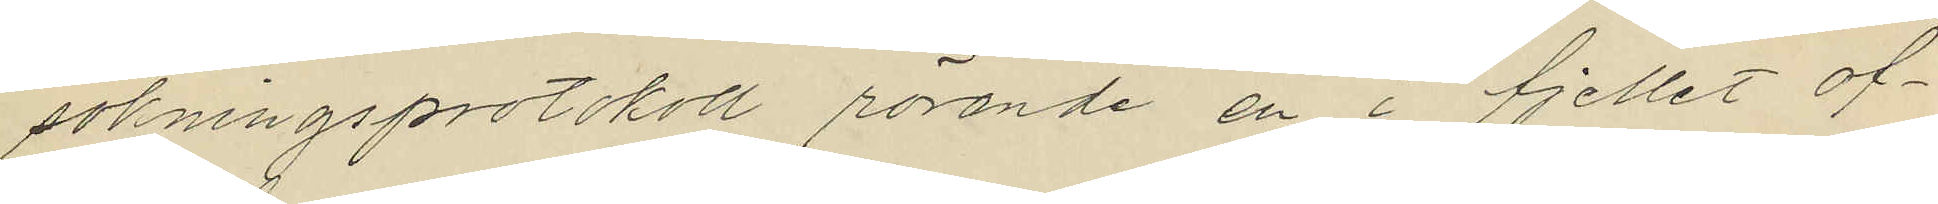sökningsprotokoll rörande en i fjellet of¬
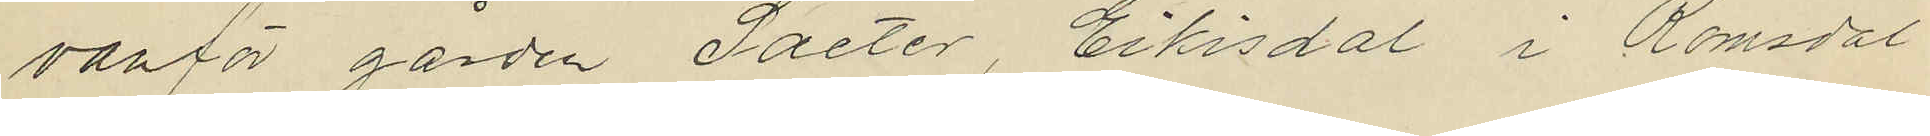vanför gården Saeter, Eikisdal i Romsdal
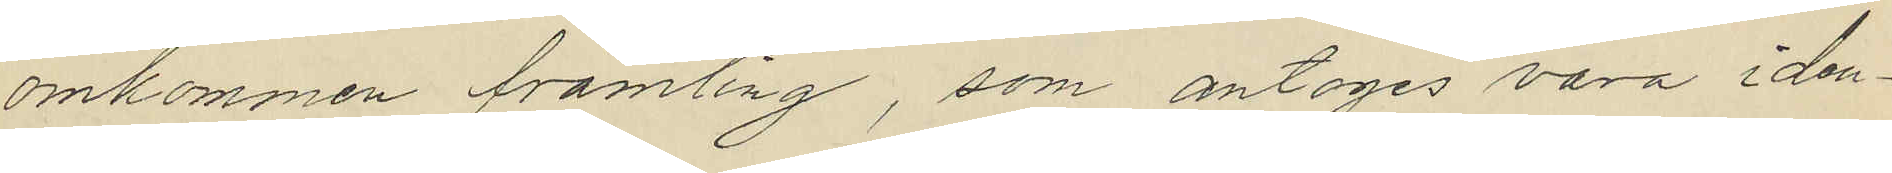omkommen främling, som antages vara iden¬
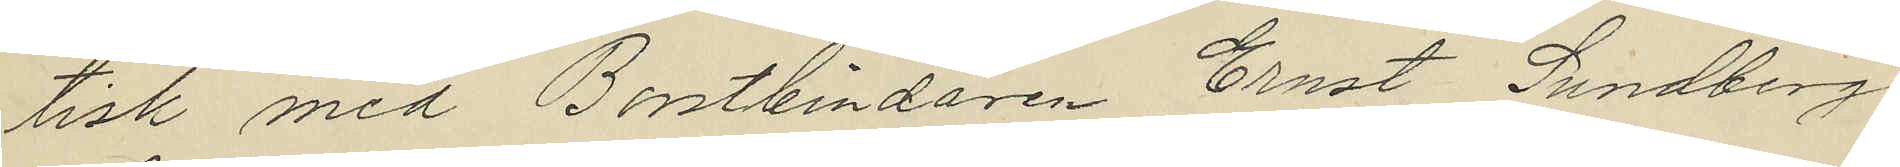tisk med Borstbindaren Ernst Sundberg
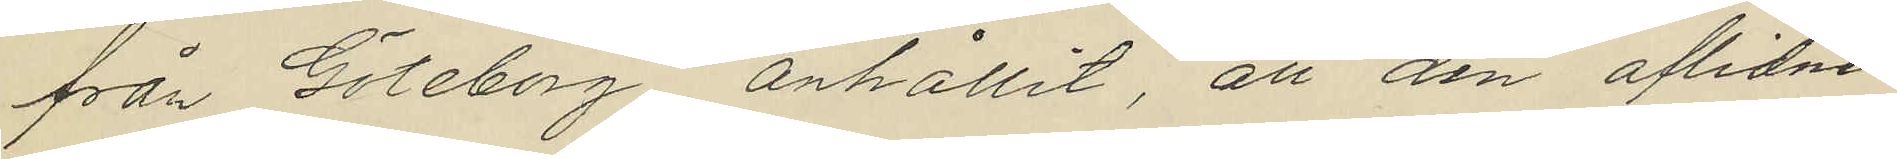från Göteborg anhållit, att den aflidnes
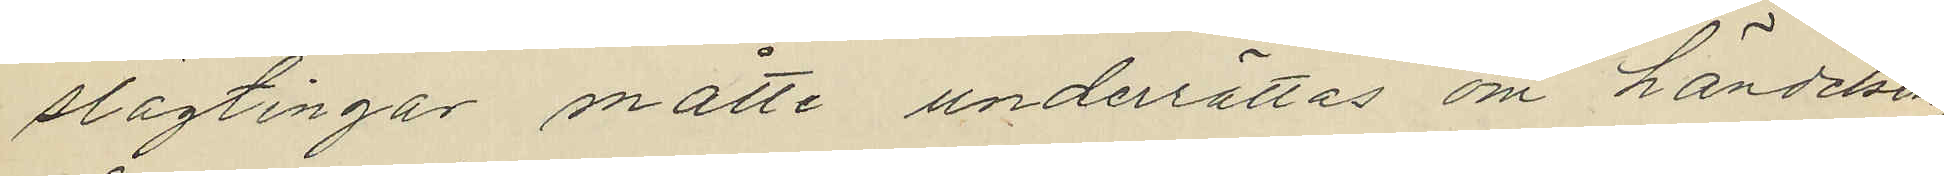slägtingar måtte underrättas om händelsen
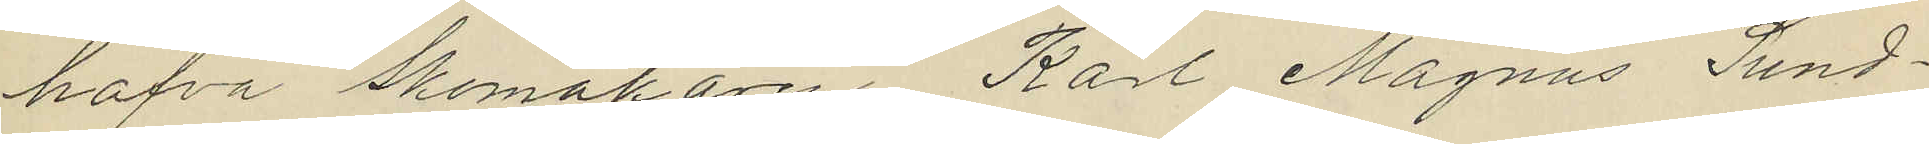hafva Skomakaren Karl Magnus Sund¬
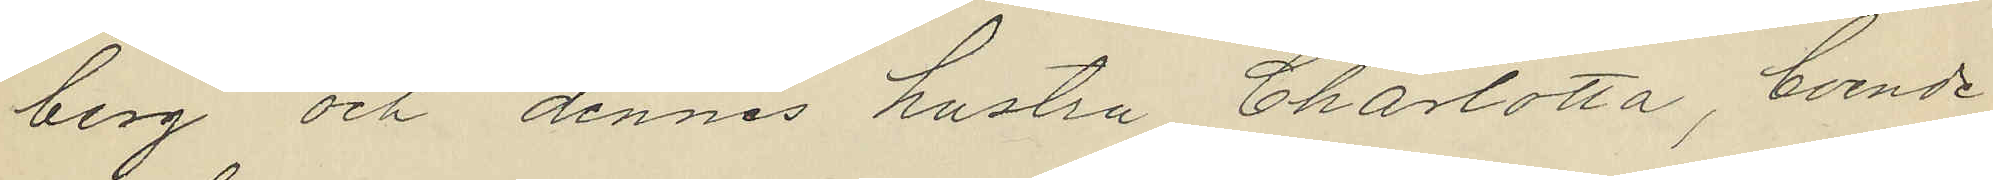berg och dennes hustru Charlotta, boende
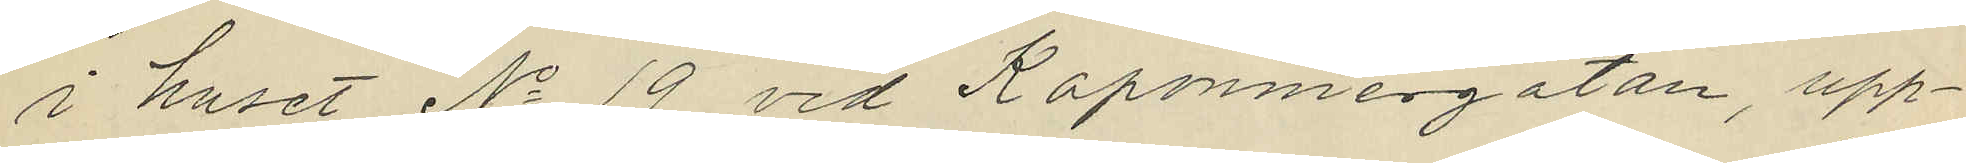i huset No 19 vid Kaponniergatan, upp¬
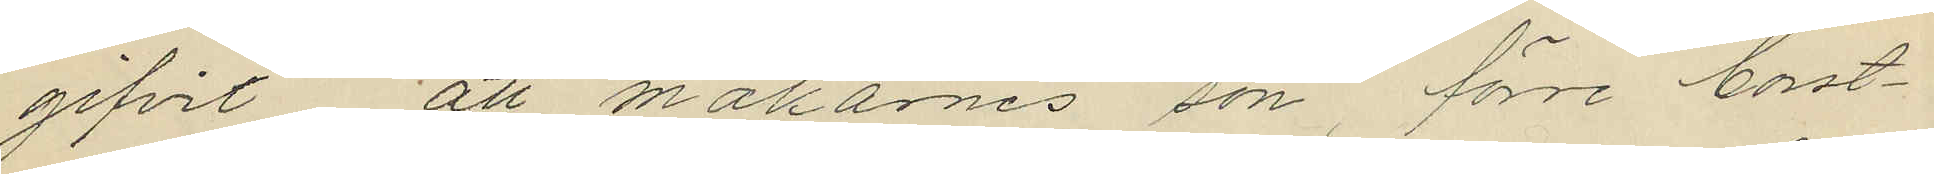gifvit att makarnes son förre borst¬
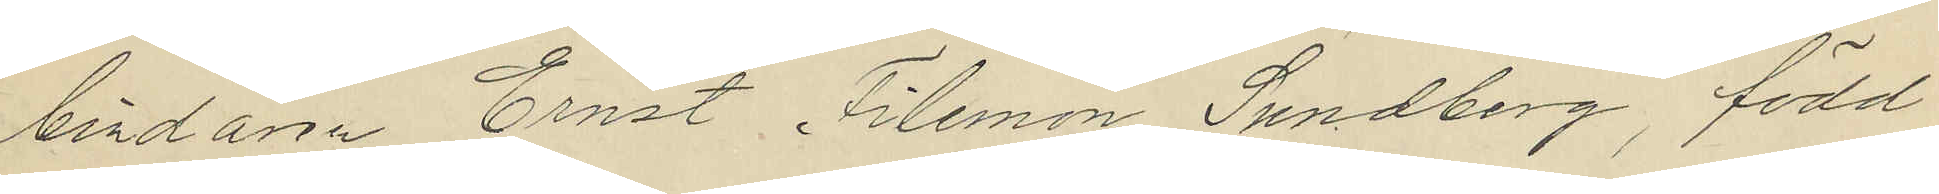bindaren Ernst Filemon Sundberg, född
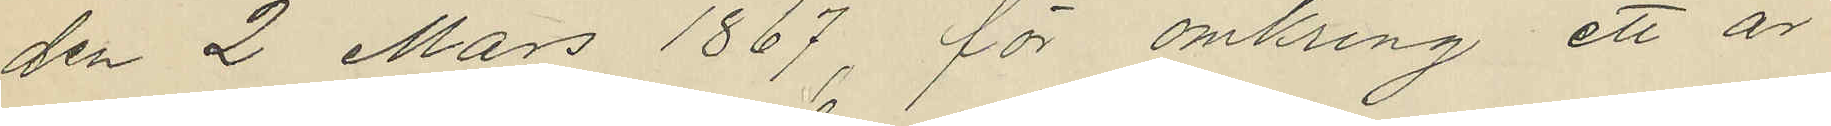den 2 Mars 1867, för omkring ett år
